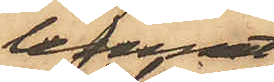lemnat
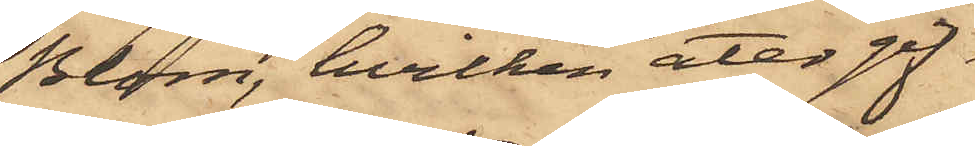Blom, hvilken åter gif¬
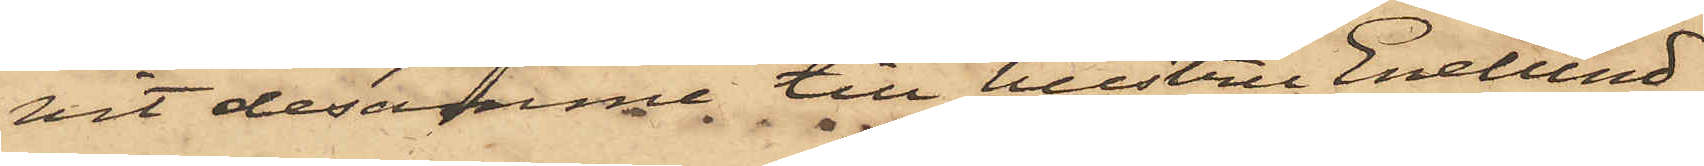vit desamme till hustru Enelund
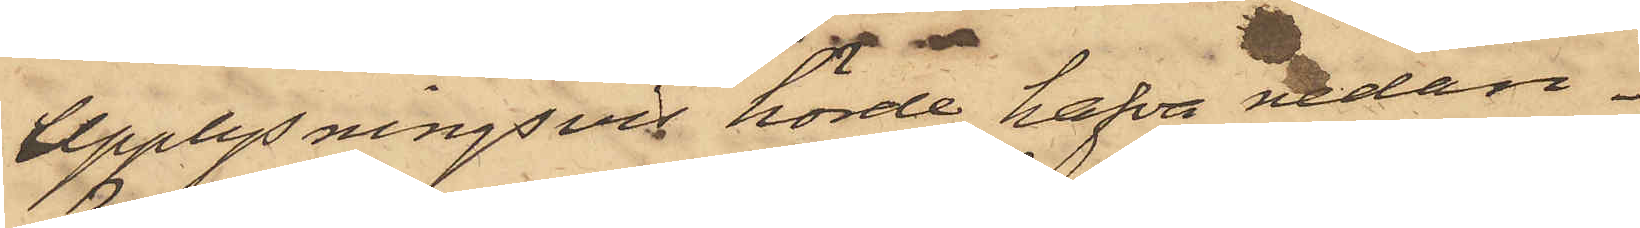Upplysningsvis hörde hafva nedan¬
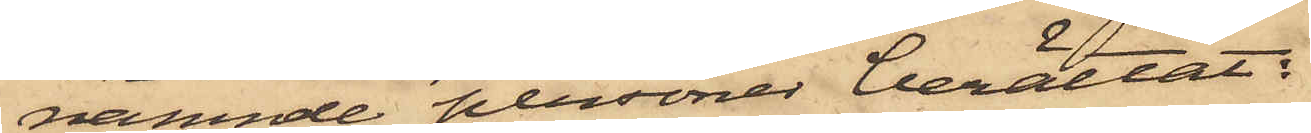nämnde personer berättat:
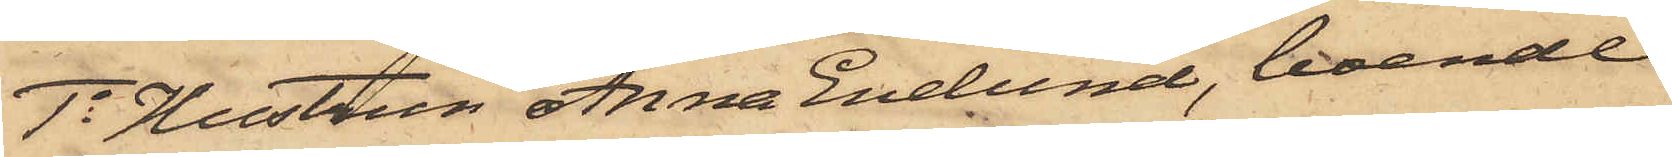1o Hustrun Anna Enelund, boende
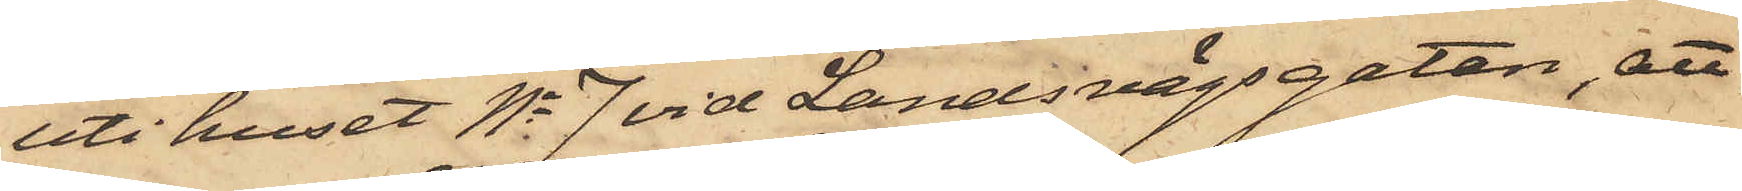uti huset No 7 vid Landsvägsgatan, att
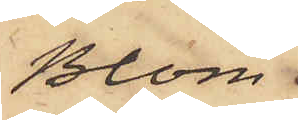Blom
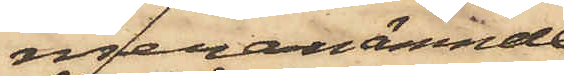meranämnde
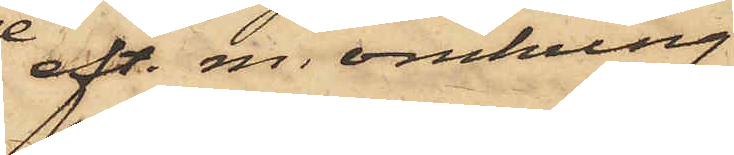eft. m. omkring
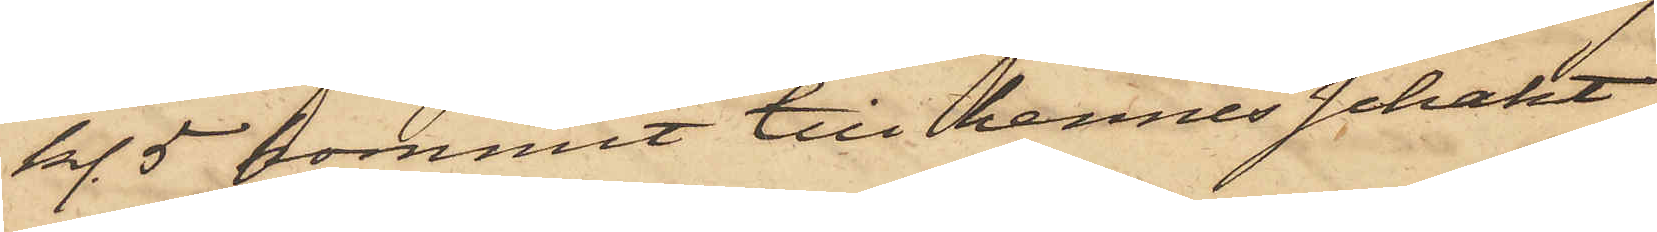kl. 5 kommit till hennes schakt
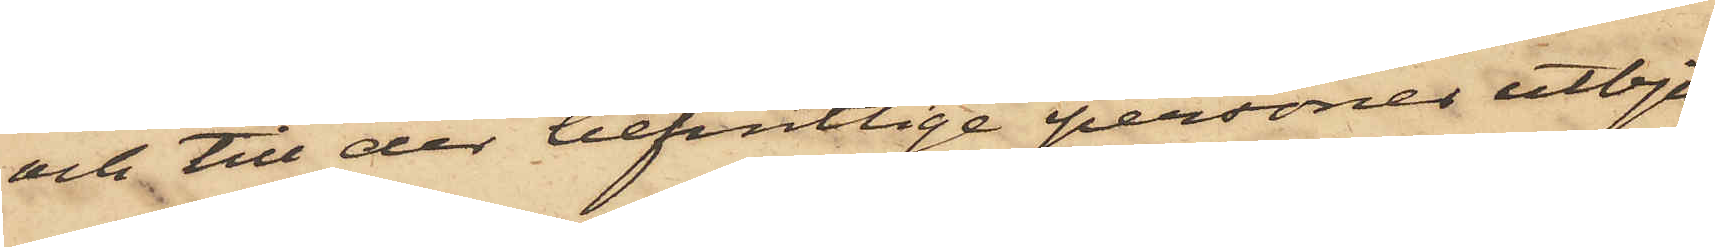och till der befintlige personer utbju¬
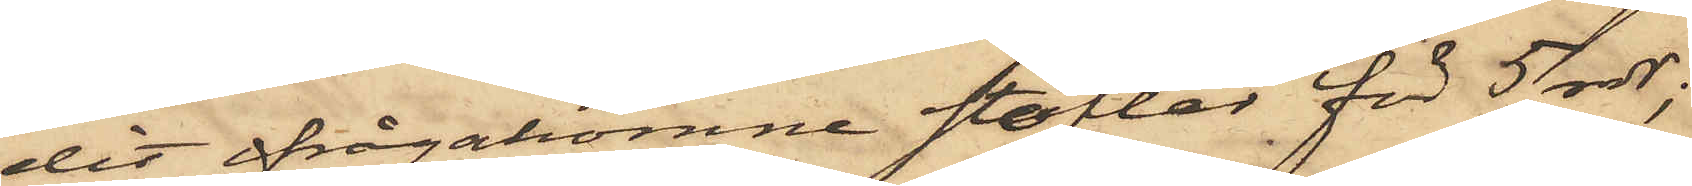dit ifrågakomne stöflar för 5 rdr;
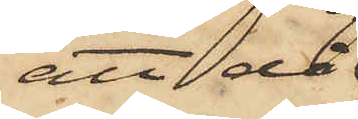att då
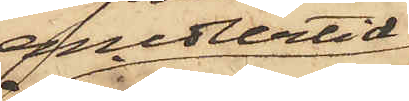medlertid
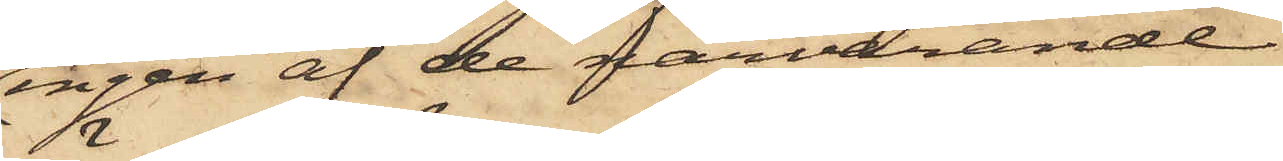ingen af de närvarande
